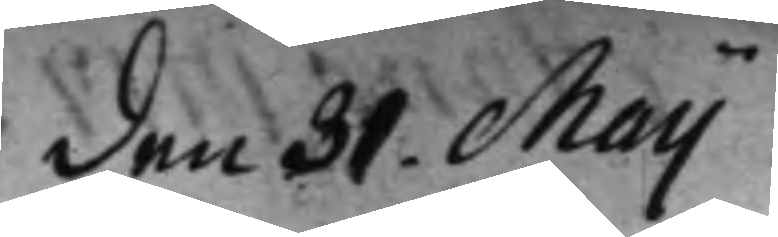den 31 Maij
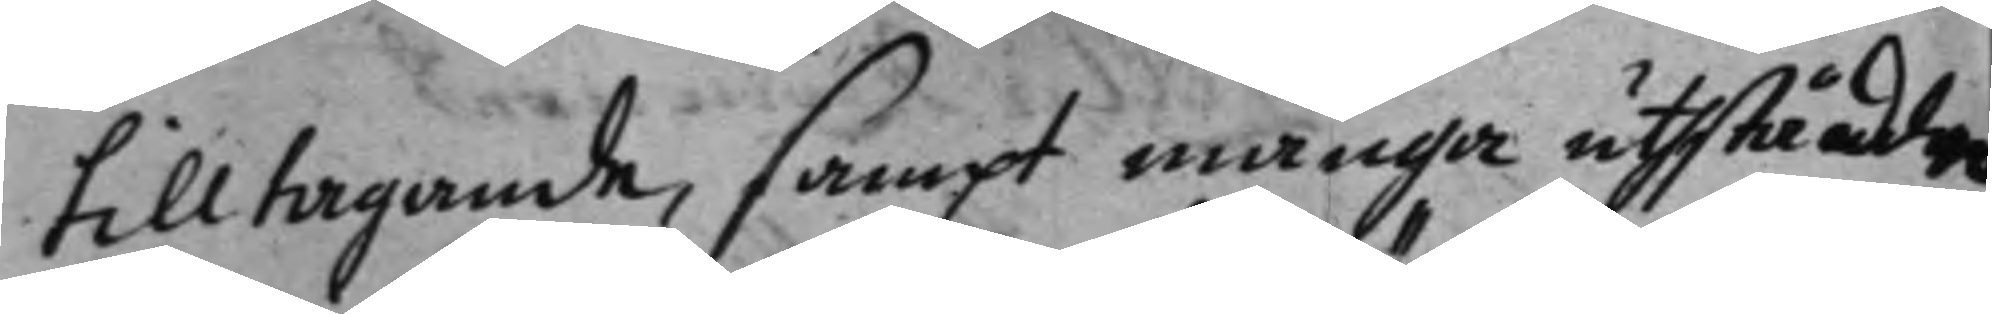tilltagande, samt många uthståddne
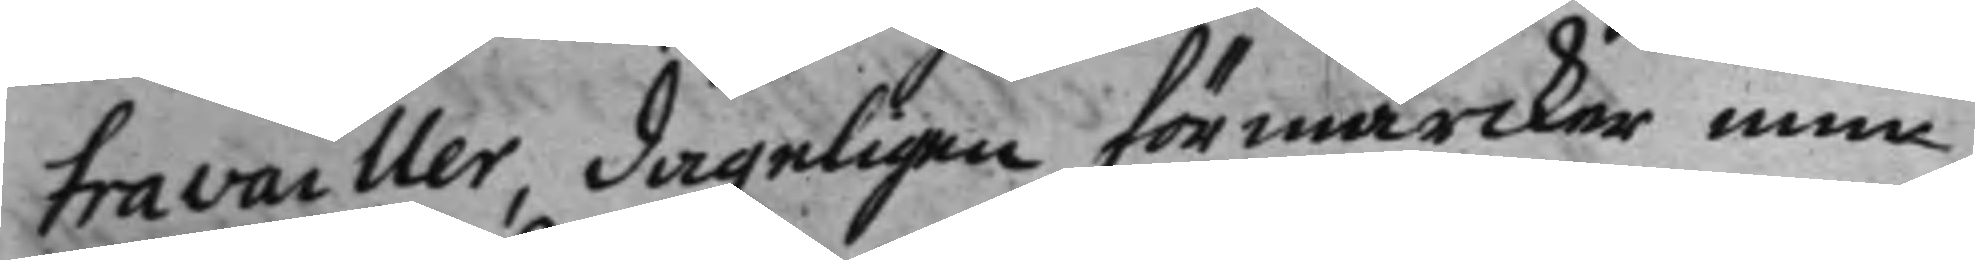travailler dageligen förmärcker min
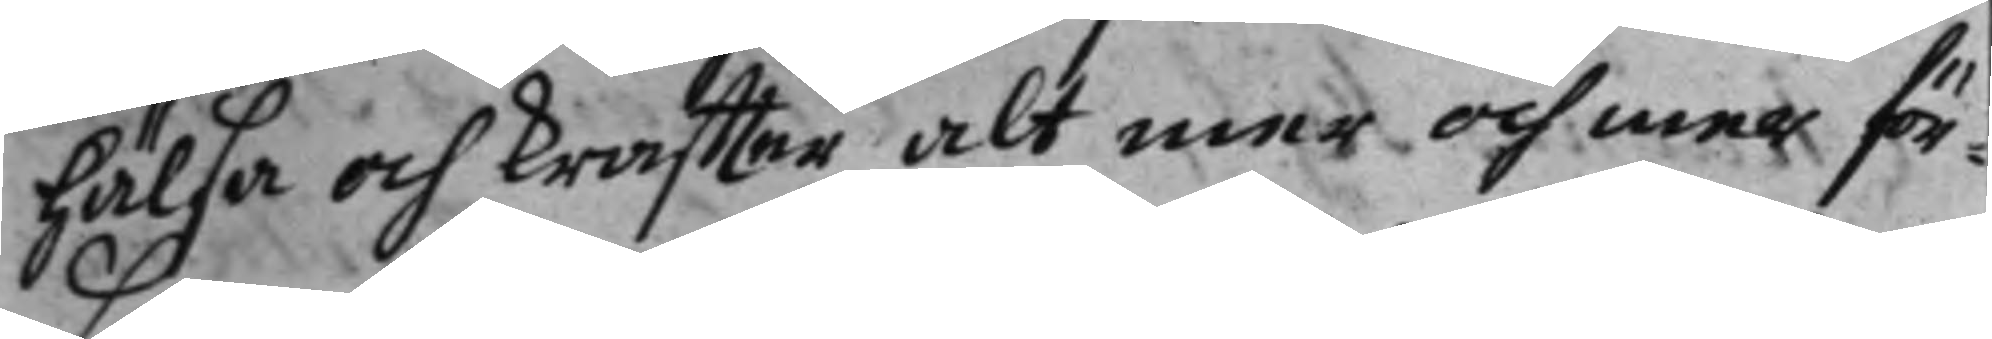hälsa och kraffter alt mer och mer för¬
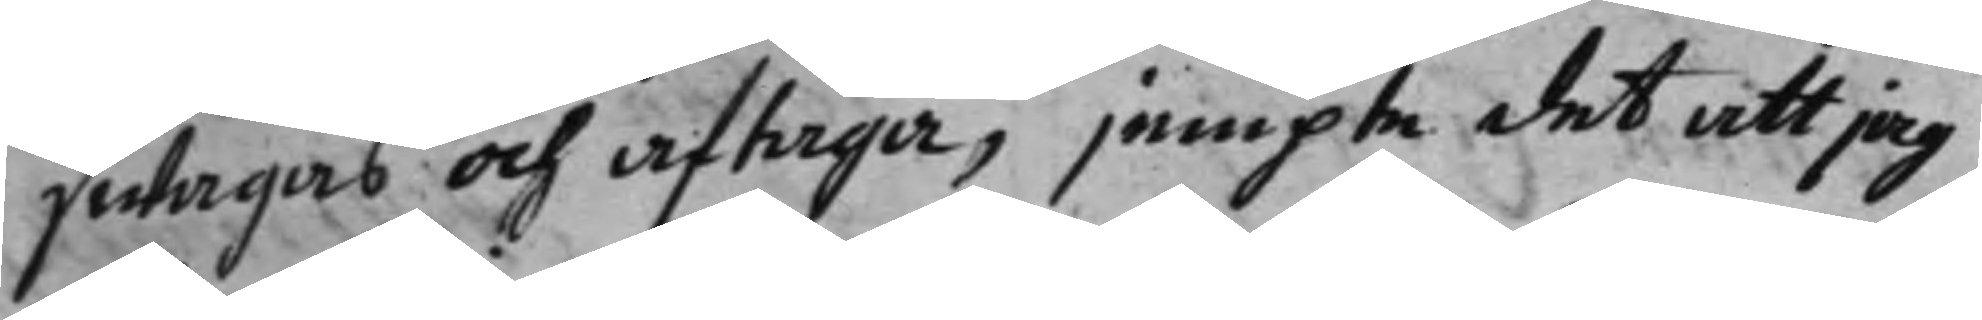swagas och aftaga, jempte det att jag
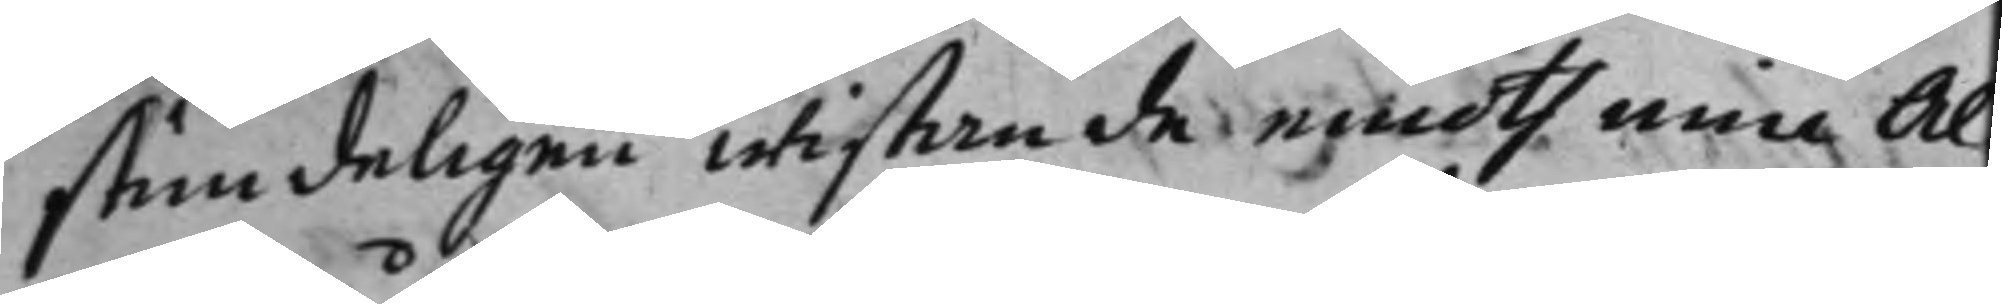stundeligen wistande medth min Al¬
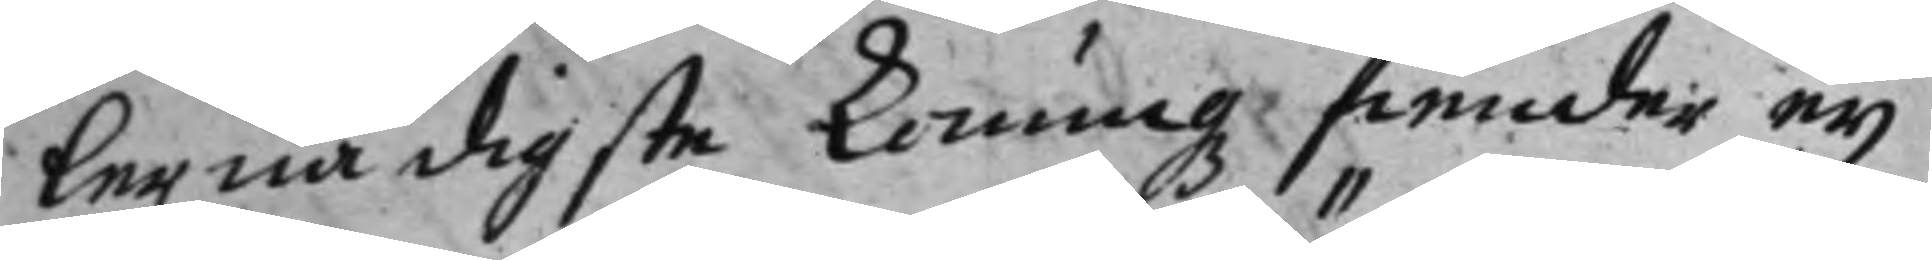lernådigste Konungz fiender eij
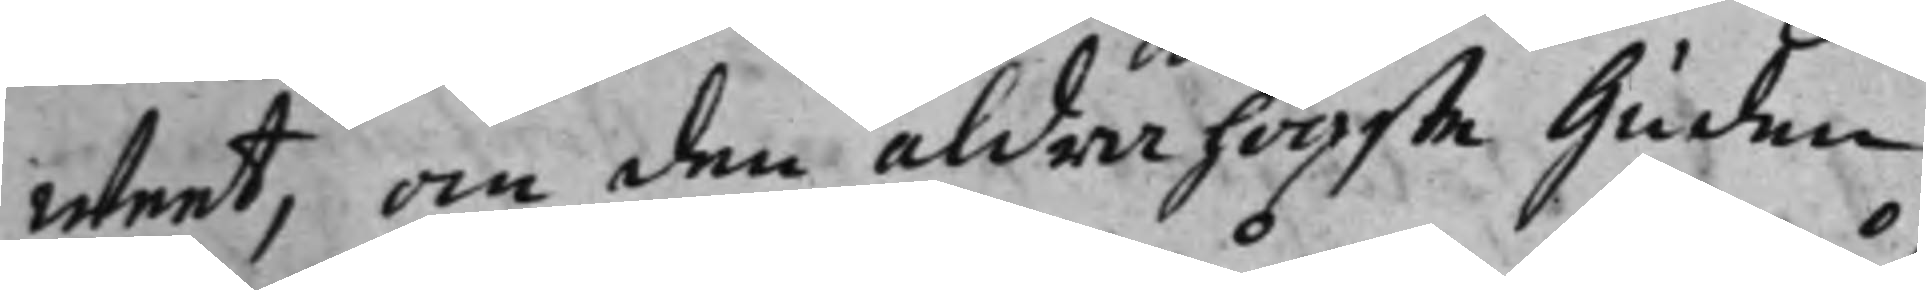weet, om den aldra högste Guden
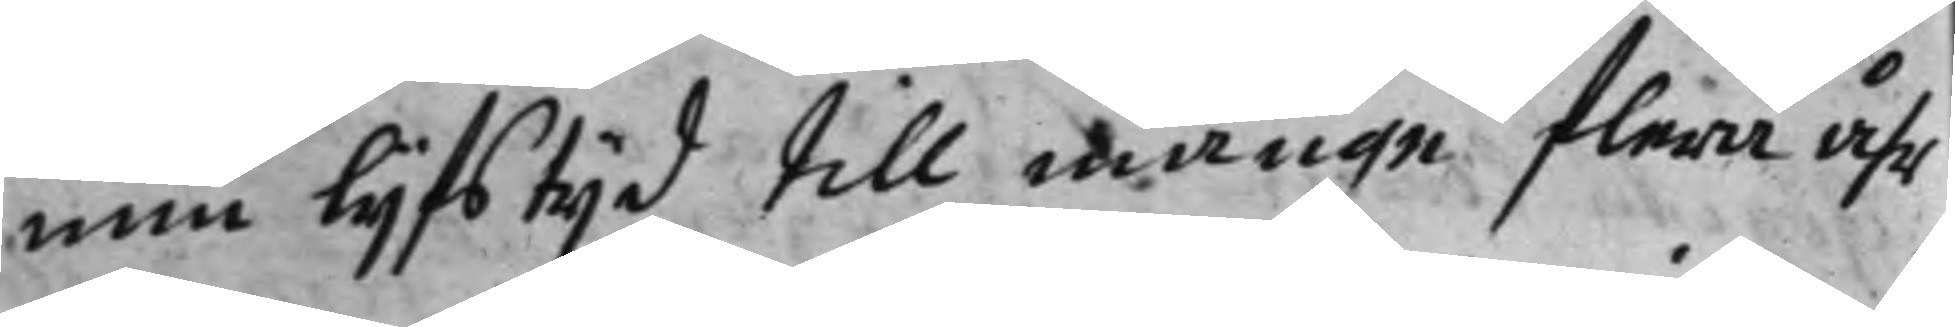min lijfstijd till månge flera åhr
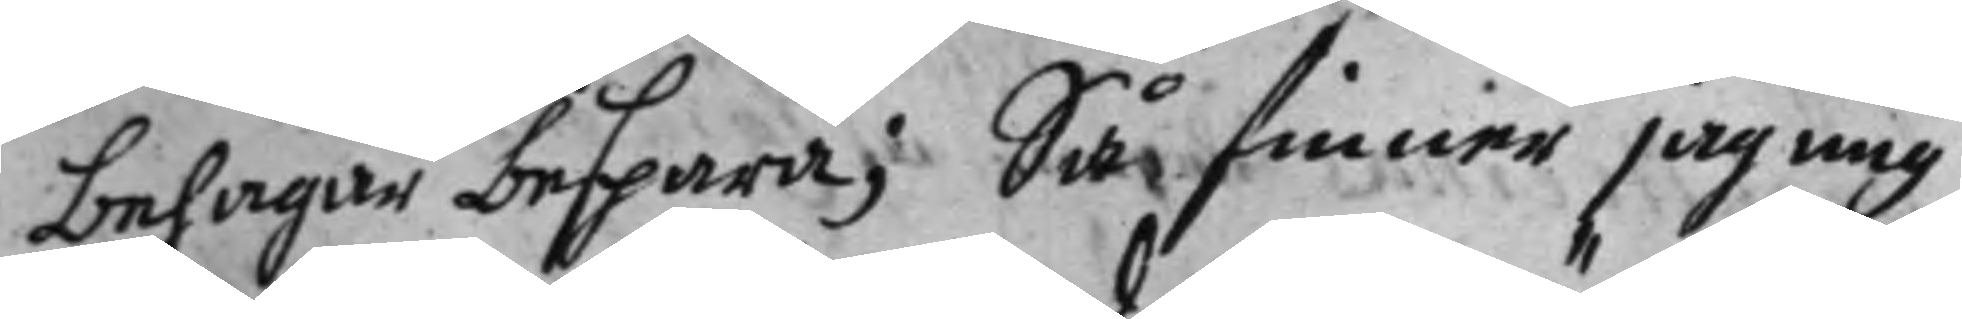belagar bespara; Så finner jag mig
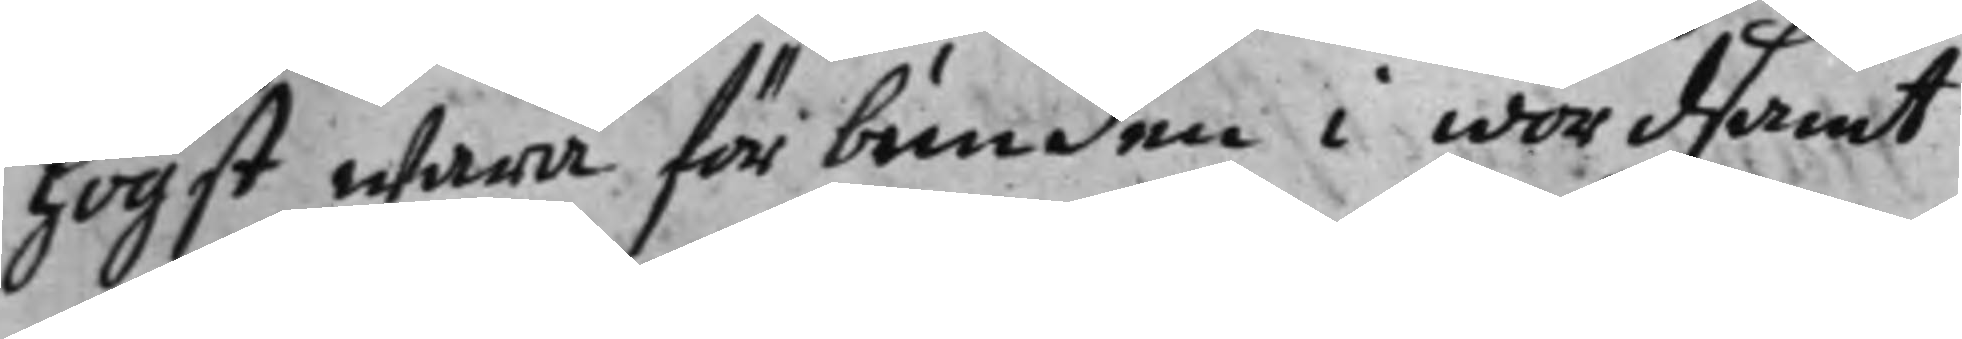högst wara förbunden i wördsamt
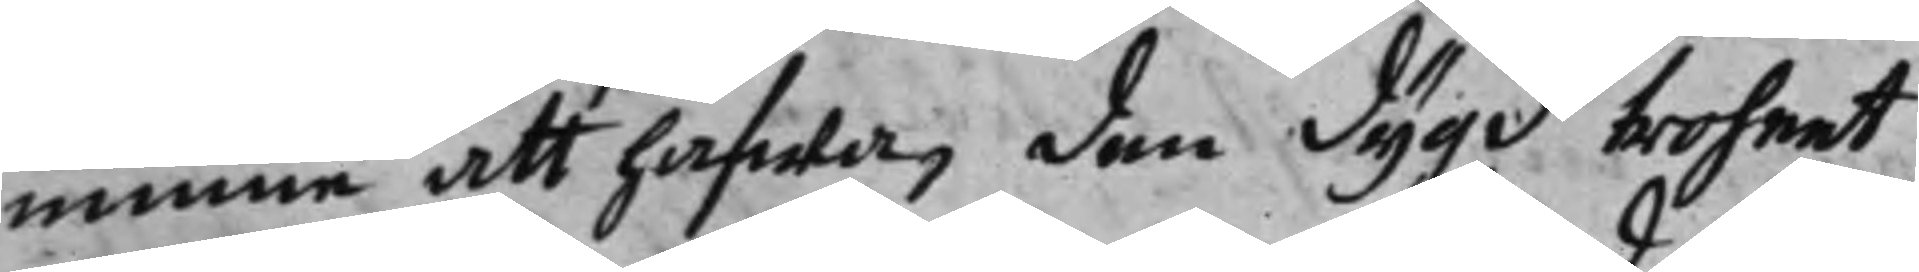minne att hafwa, den dygd troheet
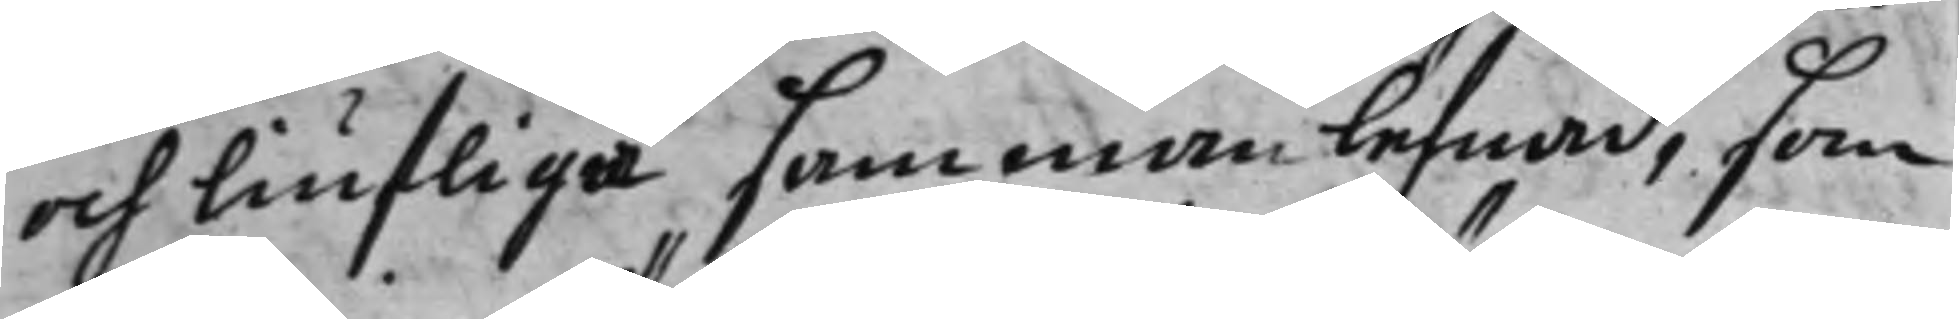och liufliga sammanlefnad, som
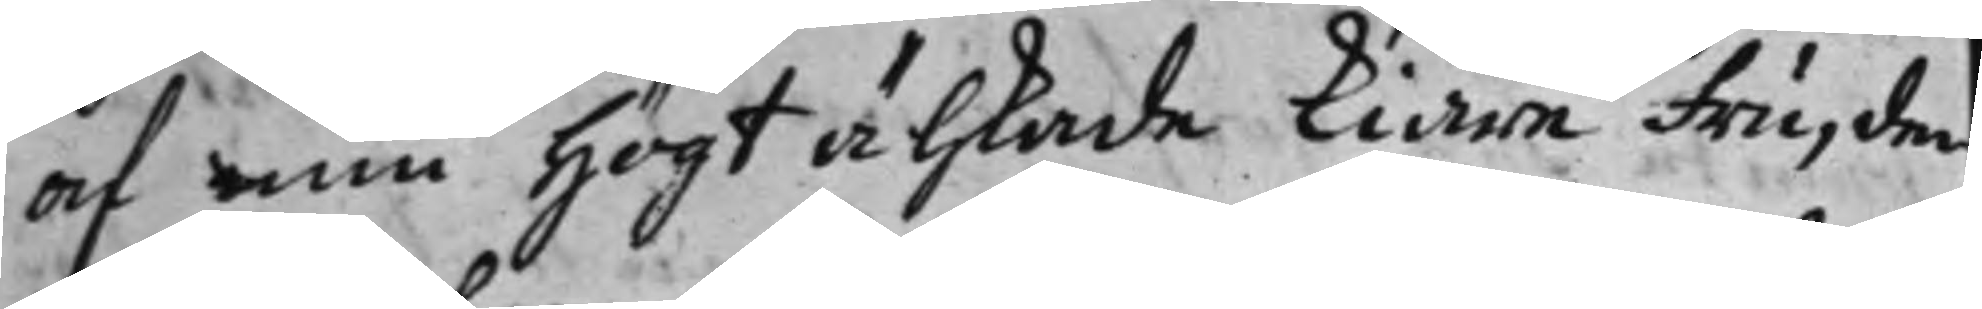af min högt alskade kiäre fru, den
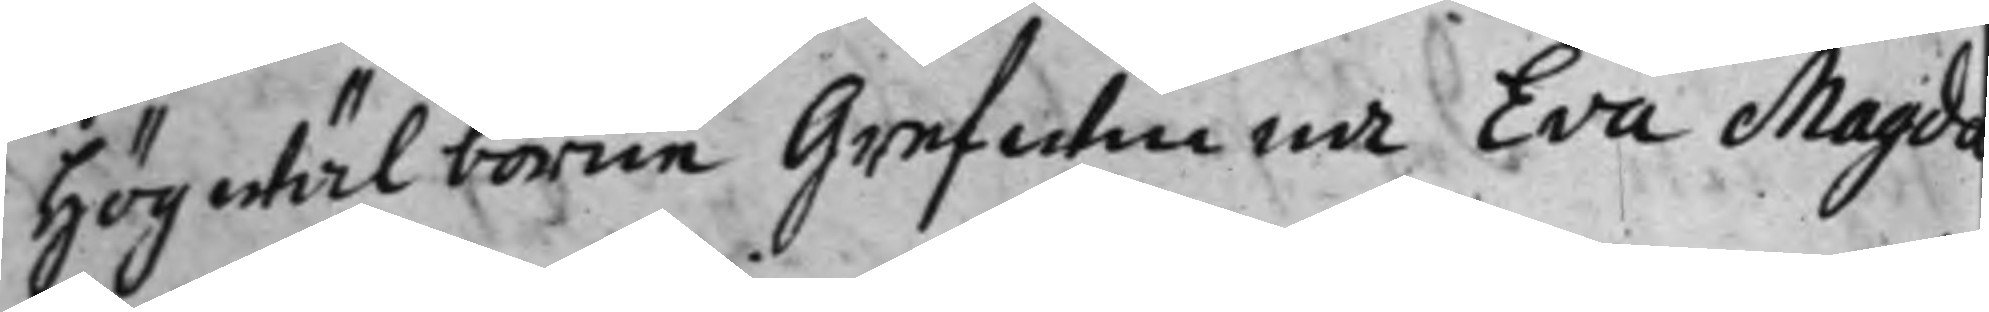Högwälborne Grefwinna Eva Magd¬
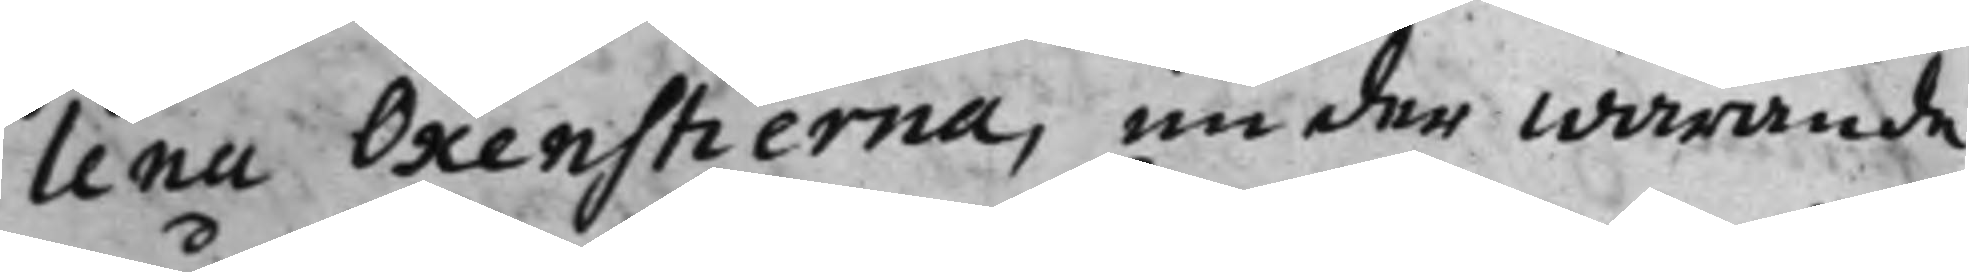lena Oxenstierna, under warande
